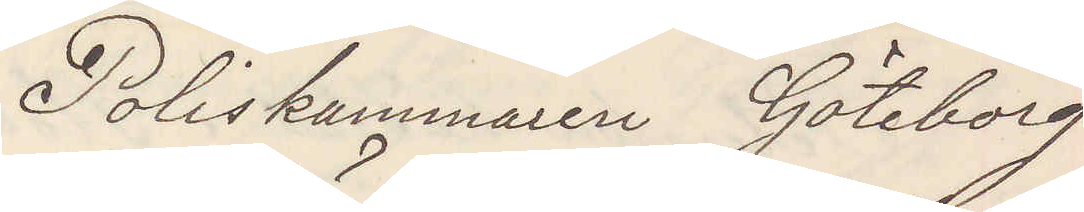Poliskammaren Göteborg
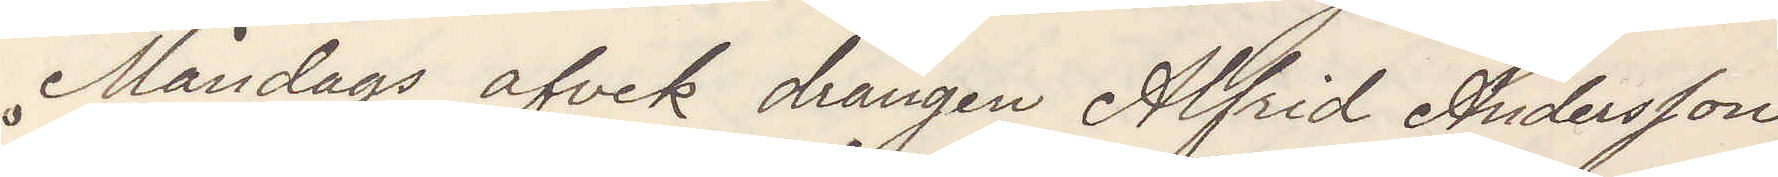Måndags afvek drängen Alfred Andersson
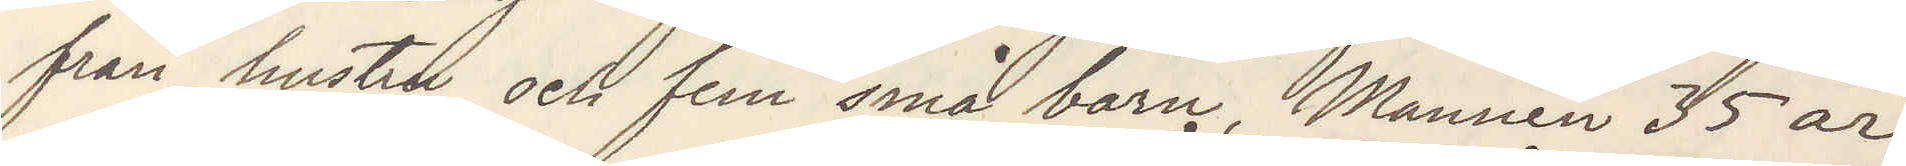från hustru och fem små barn, Mannen 35 år
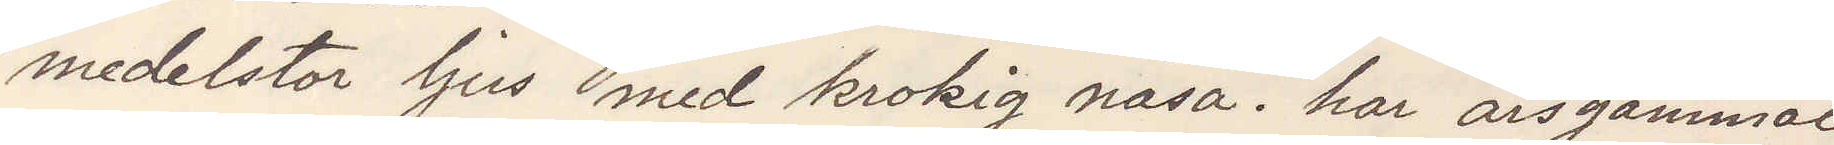medelstor ljus med krokig näsa. har årsgammal
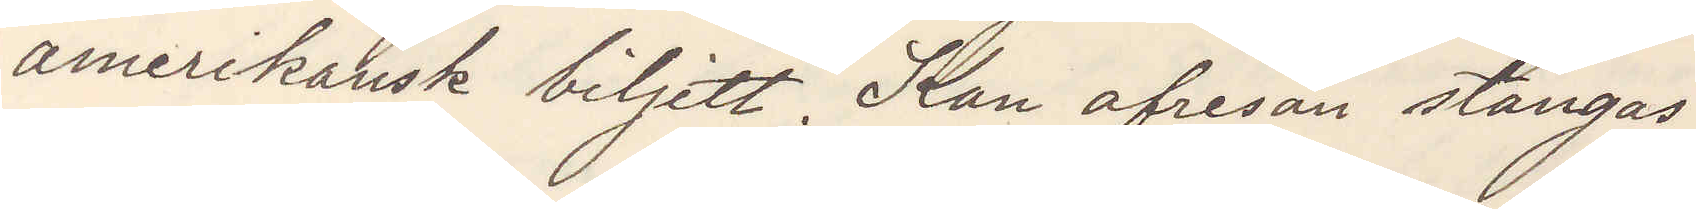amerikansk biljett. Kan afresan stängas.
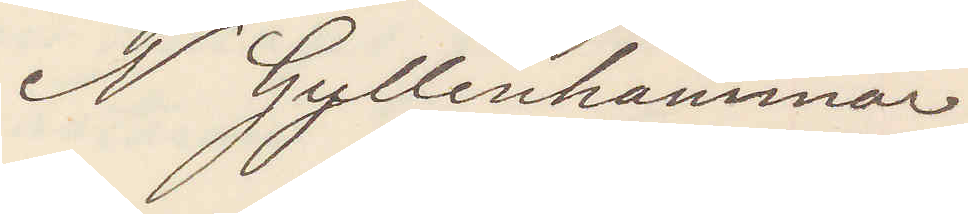N Gyllenhammar.
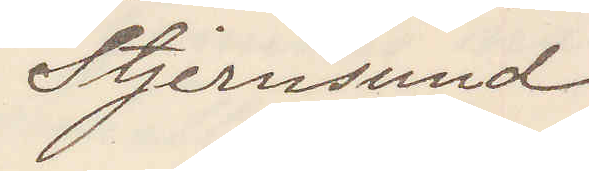Stjernsund
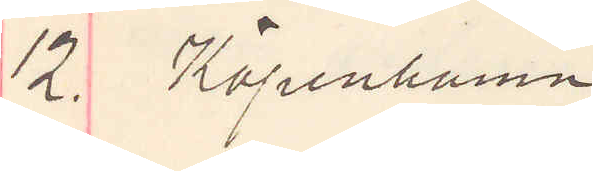12. Köpenhamn
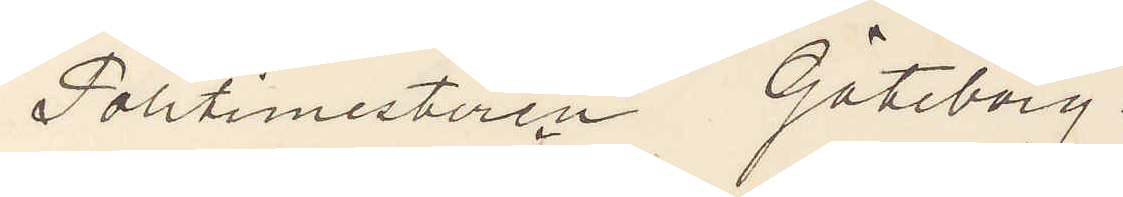Politimesteren Göteborg.
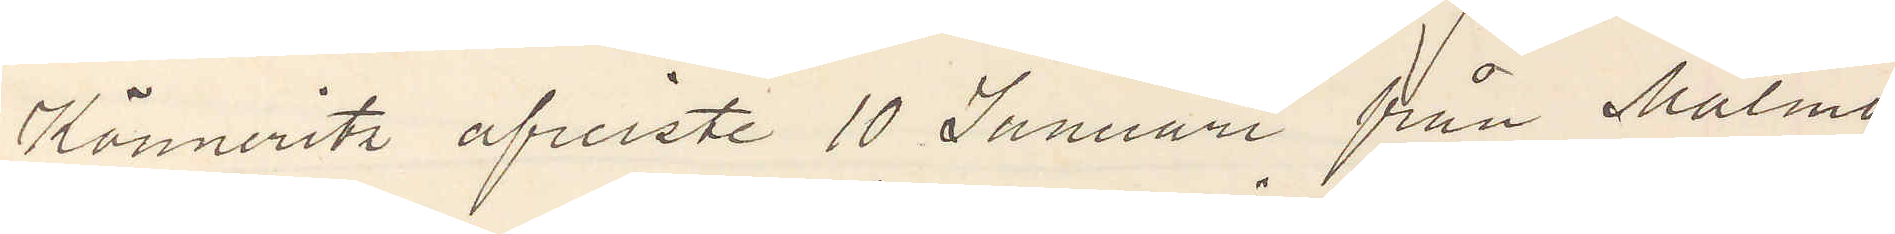Könneritz afreiste 10 Januari från Malmö
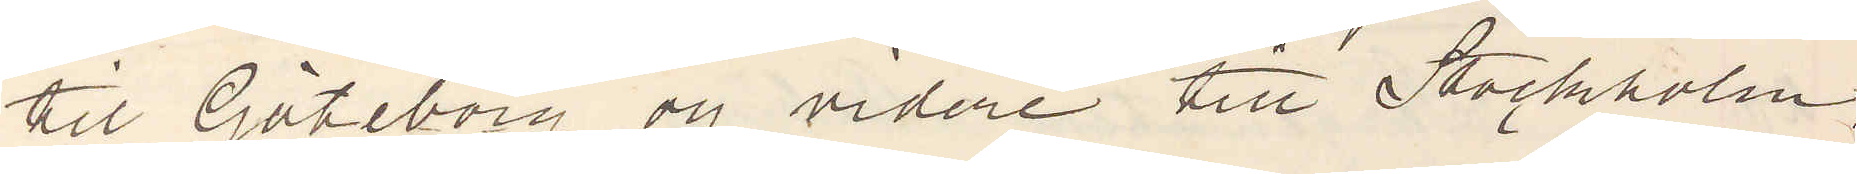til Göteborg og videre till Stockholm.
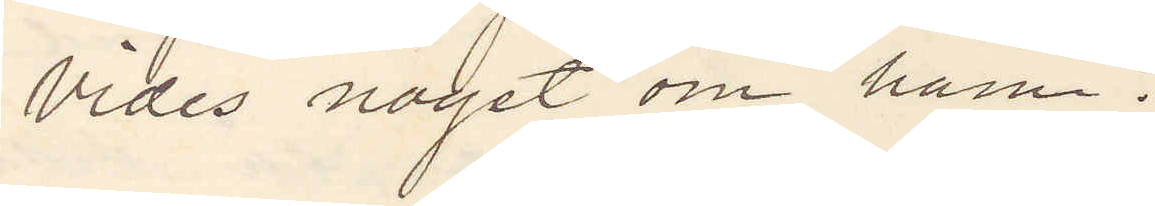Vides noget om ham?
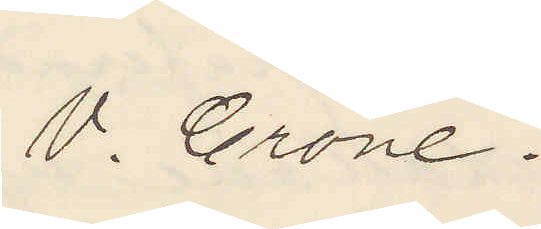V. Crone.
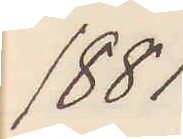1881
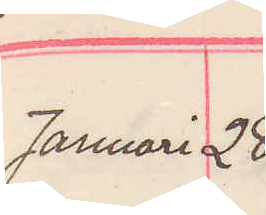Januari 28.
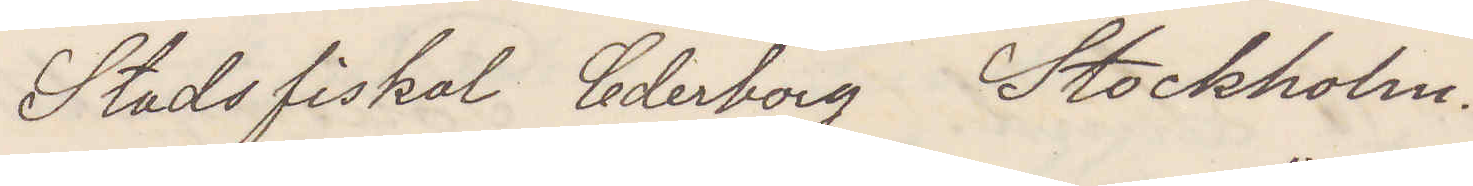Stadsfiskal Cederborg Stockholm.
